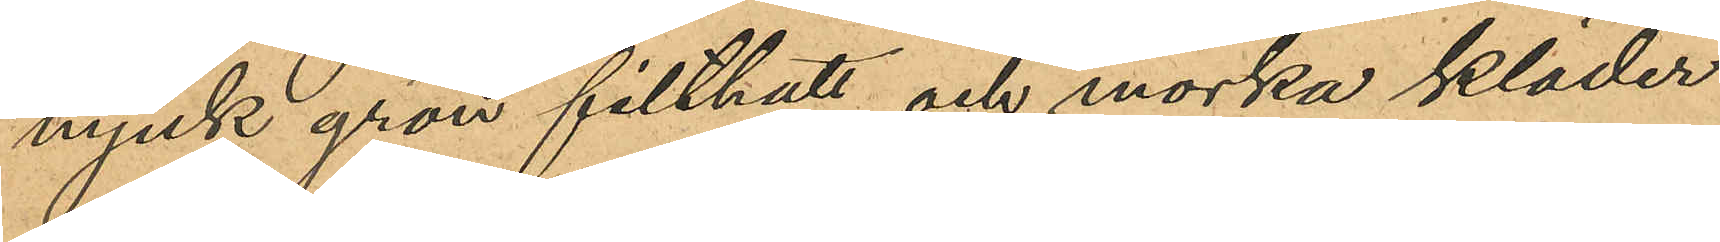mjuk grön filthatt och mörka kläder.
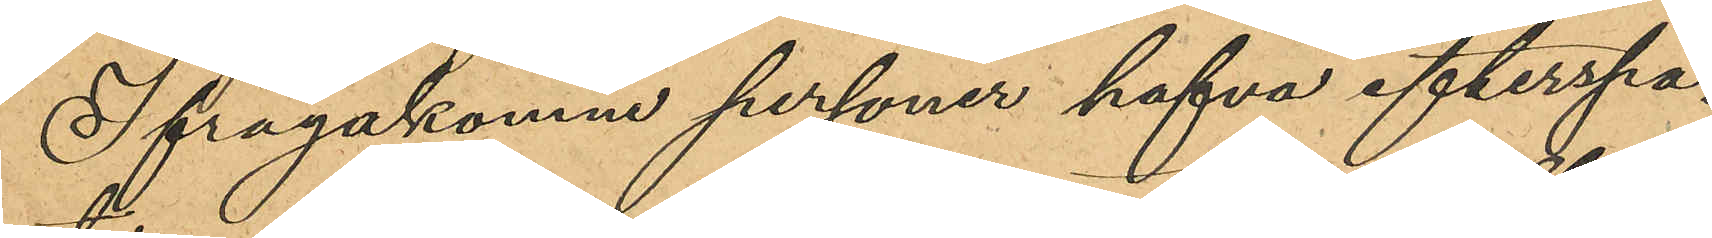Ifrågakomne personer hafva efterspa¬
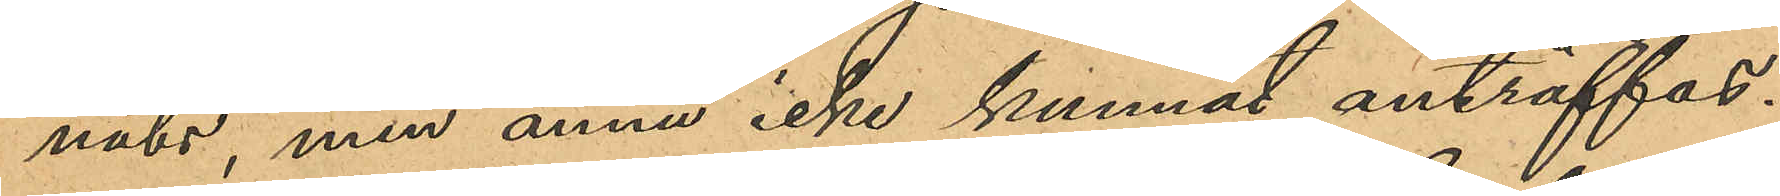nats, men ännu icke kunnat anträffas.
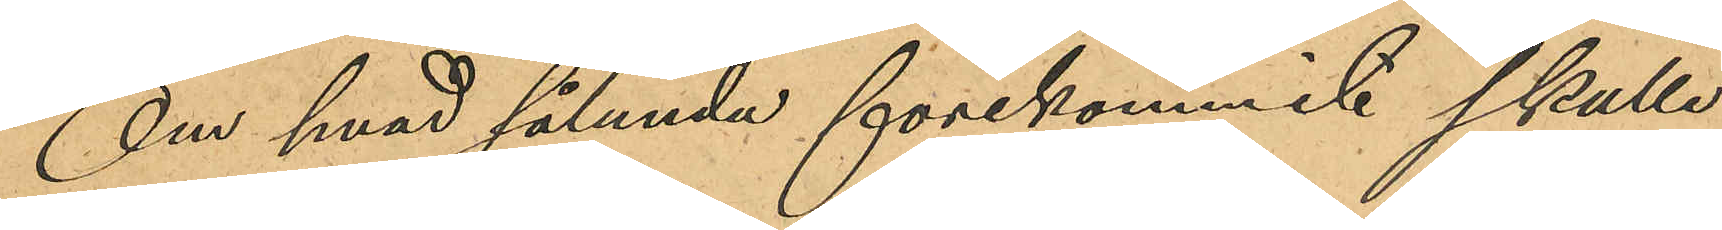Om hvad sålunda förekommit skulle
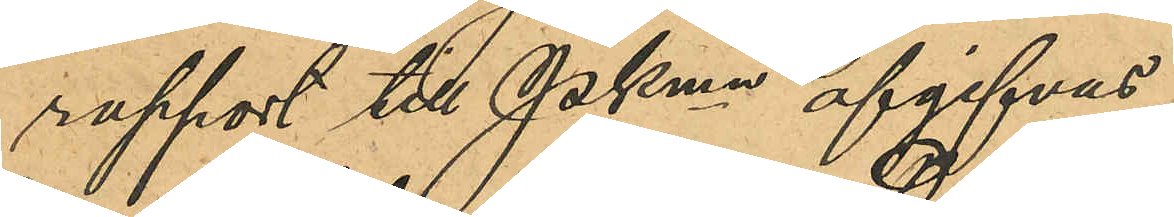rapport till Pkmn afgifvas.
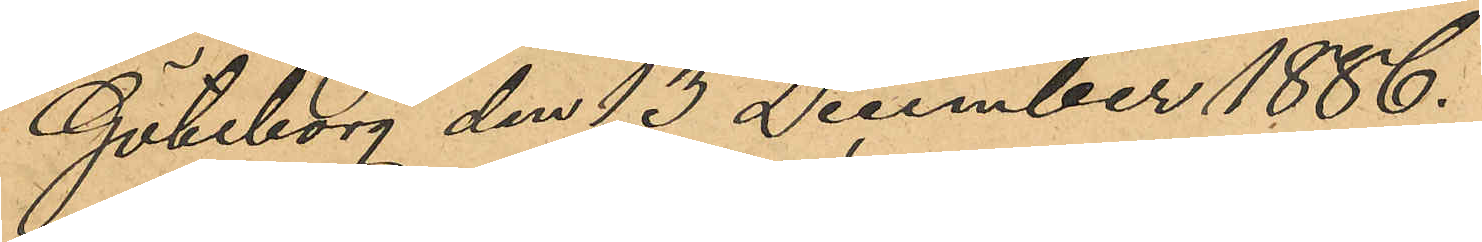Göteborg den 13 December 1886.
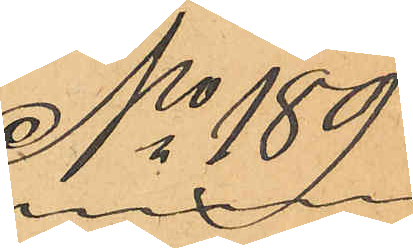No 189.
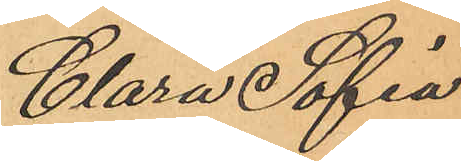Clara Sofia
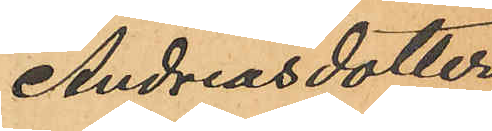Andreasdotter
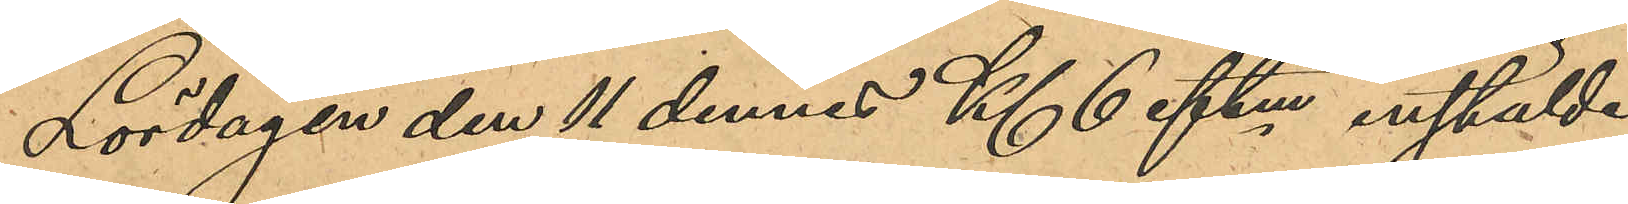Lördagen den 11 dennes Kl 6 eftm instälde
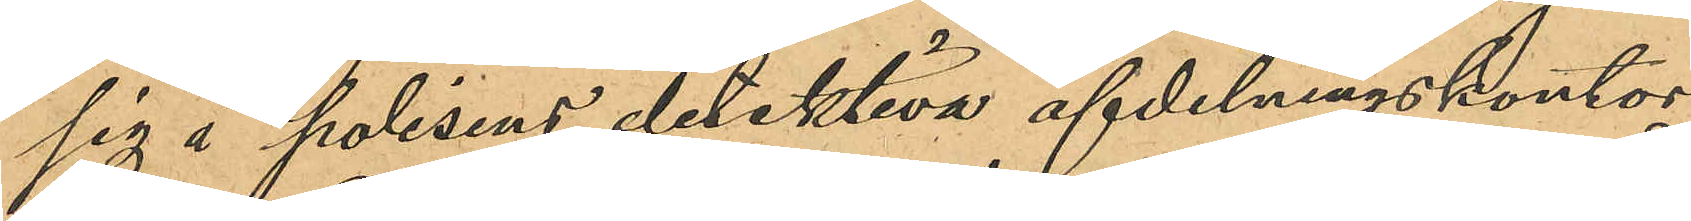sig å polisens detektiva afdelningskontor
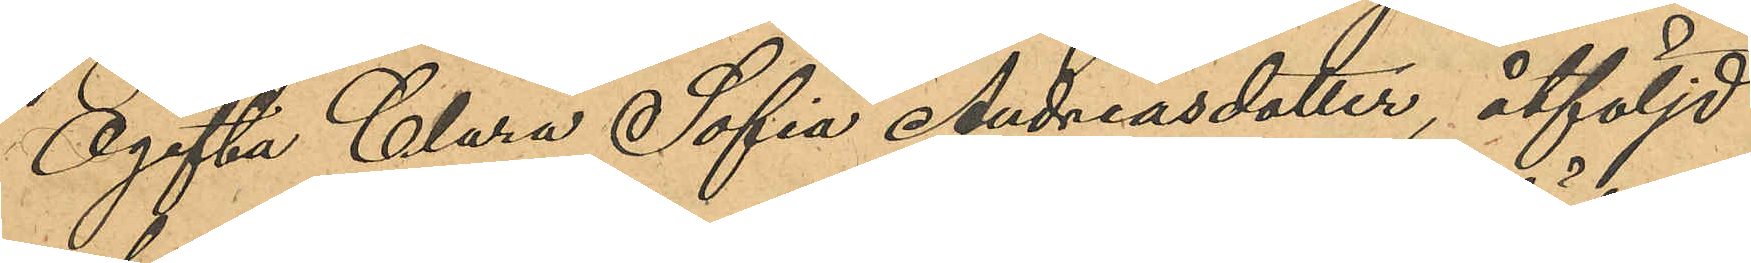Ogifta Clara Sofia Andreasdotter, åtföljd
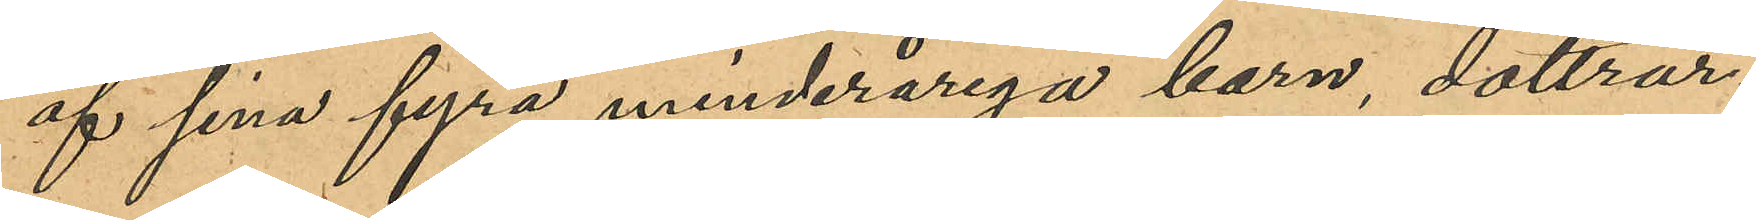af sina fyra minderåriga barn, döttrar¬
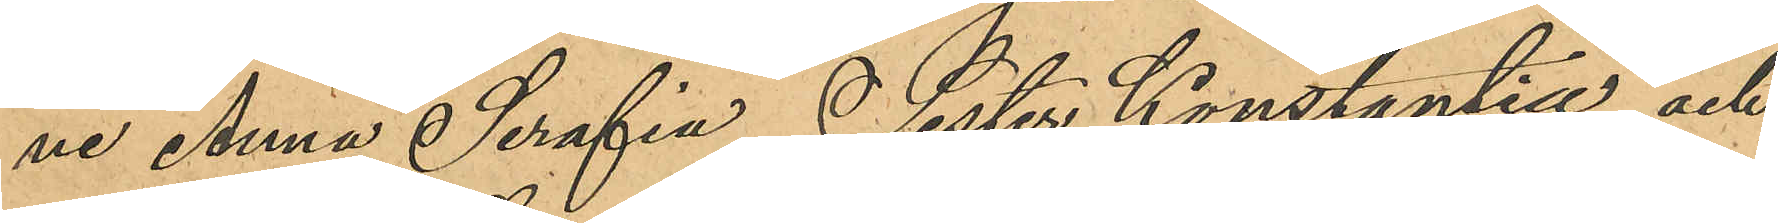ne Anna Serafia, Sester Konstantia och
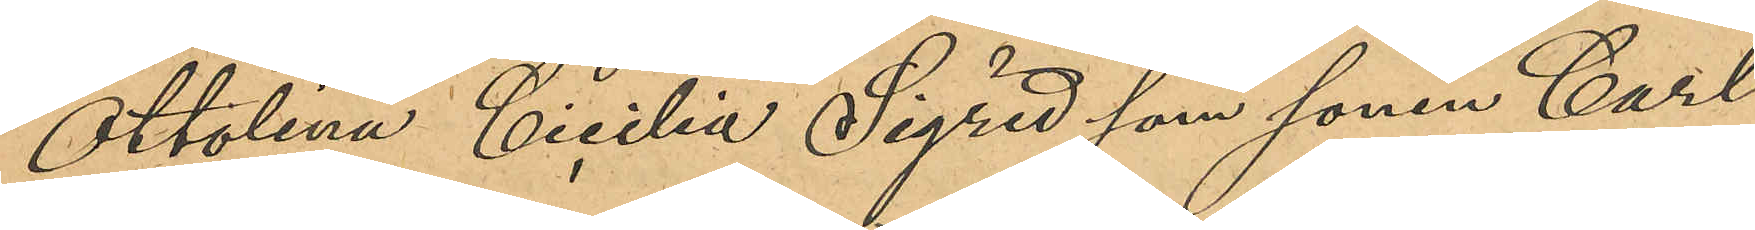Ottolina Cicilia Sigrid samt sonen Carl
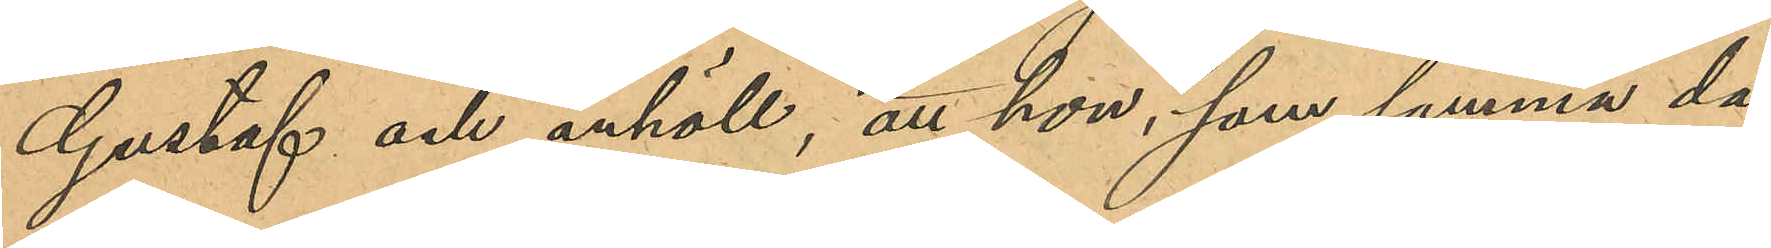Gustaf och anhöll, att hon, som samma dag
